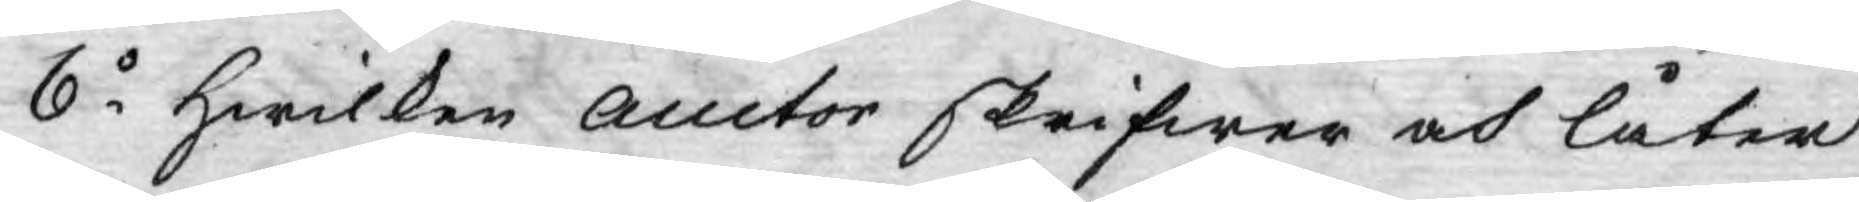6o Hwilken Auctor skrifwer och låter
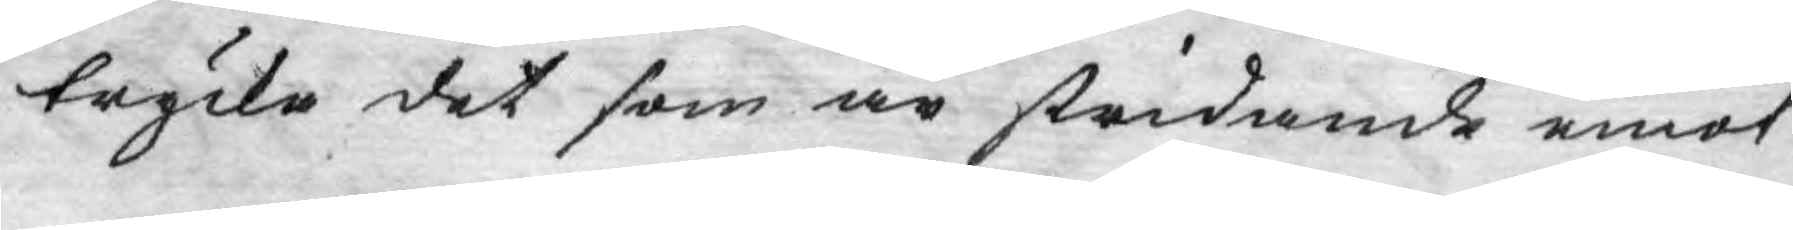trycka det som är stridande emot
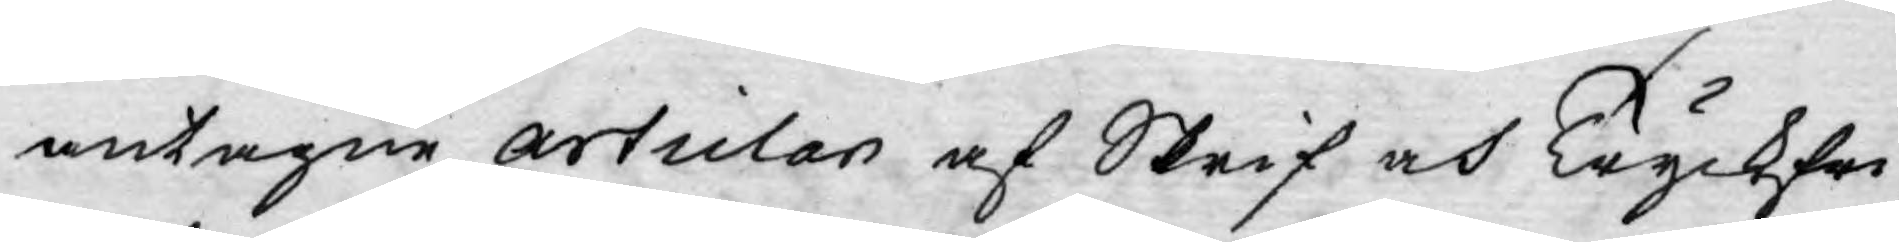antagne articlar af Skrif och Tryckfri¬
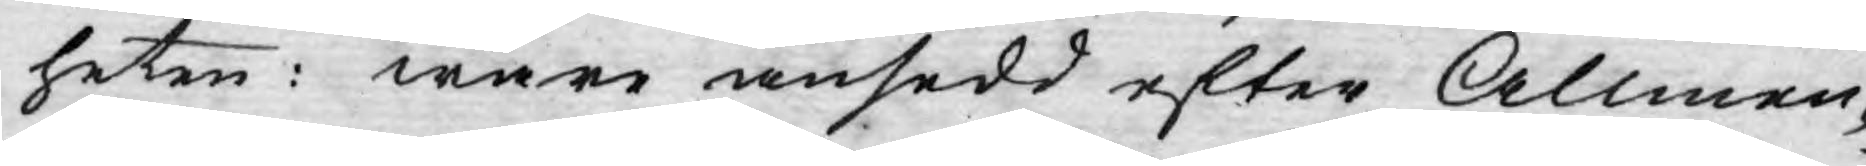heten: ware ansedd efter Allmen¬
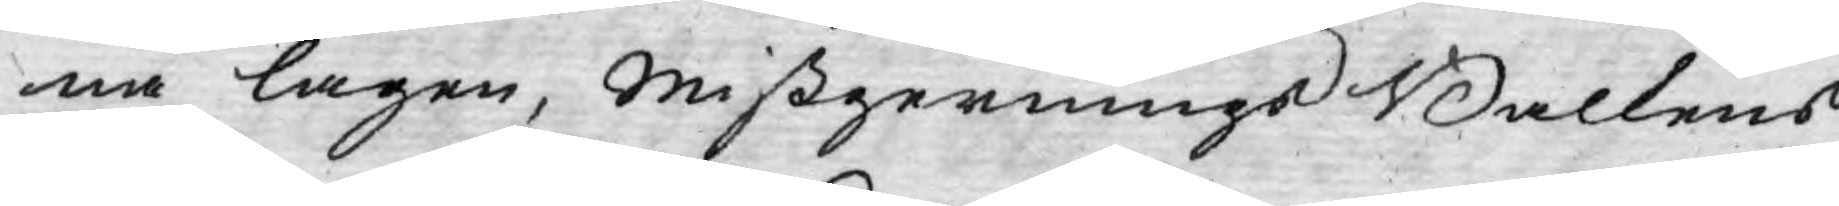na lagen, mißgernings Balkens
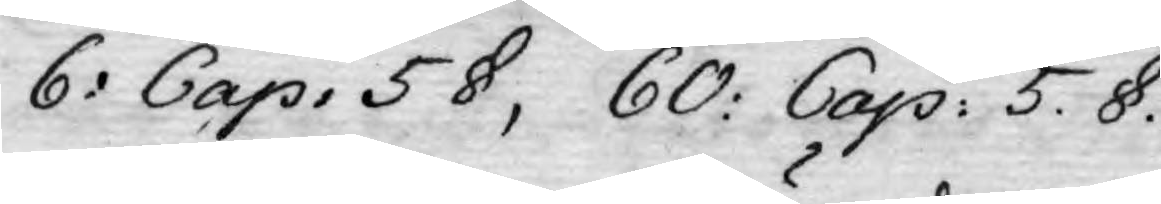6: Cap. 5 §, 60: Cap: 5. §.
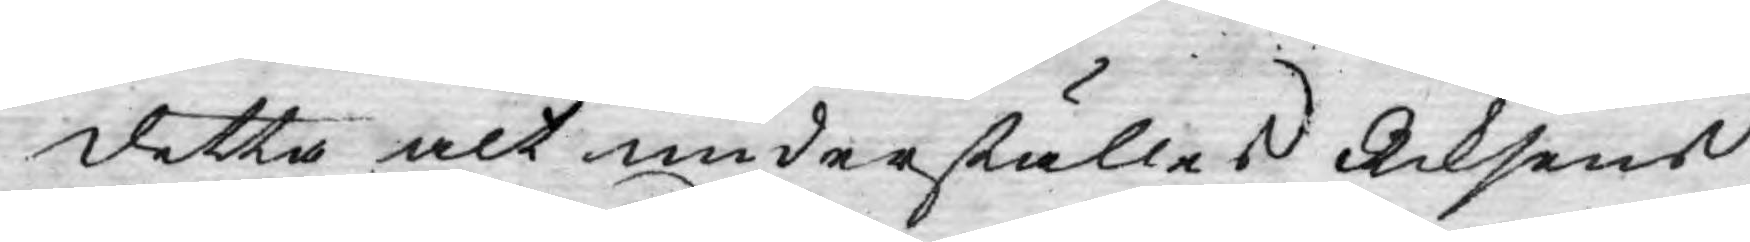detta alt underställes Riksens
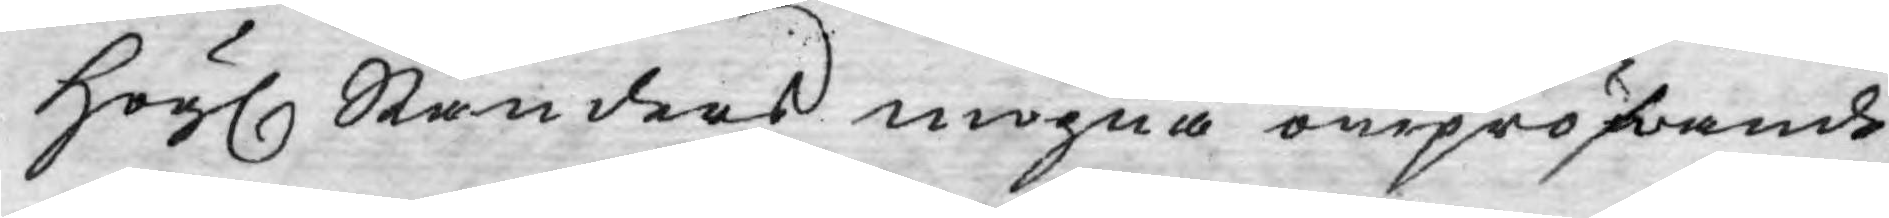Högl. Ständers mogna ompröfwande.
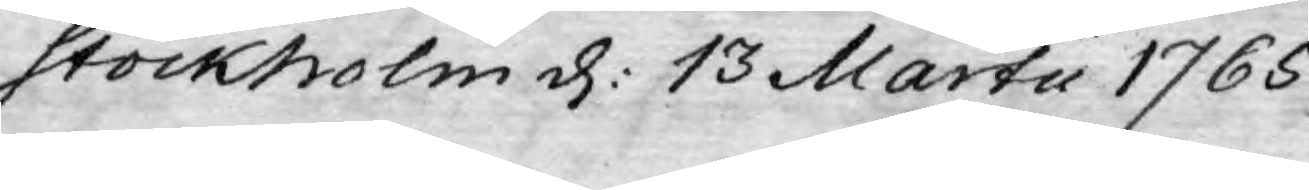Stockholm d: 13 Martii 1765.
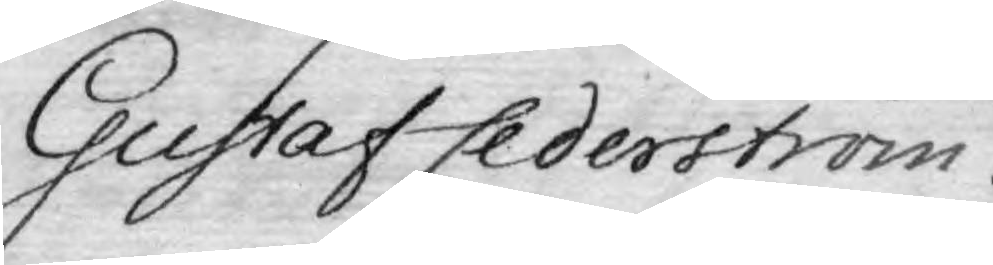Gustaf Cederström
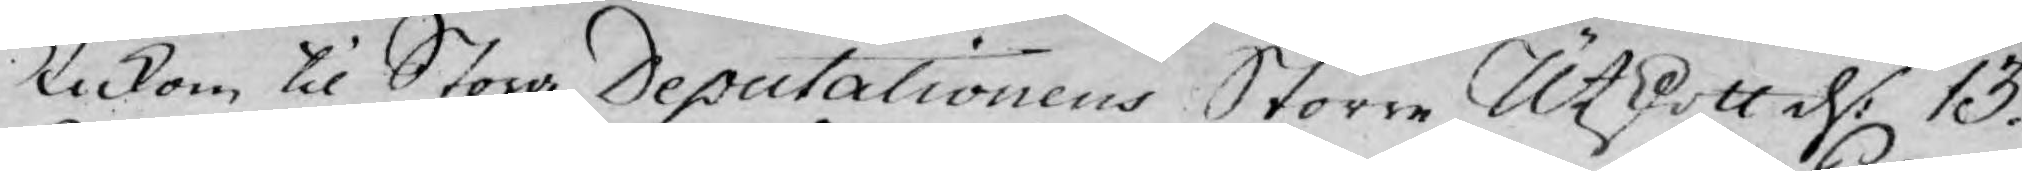Inkom til Stora Deputationens Större Utskott d: 13.
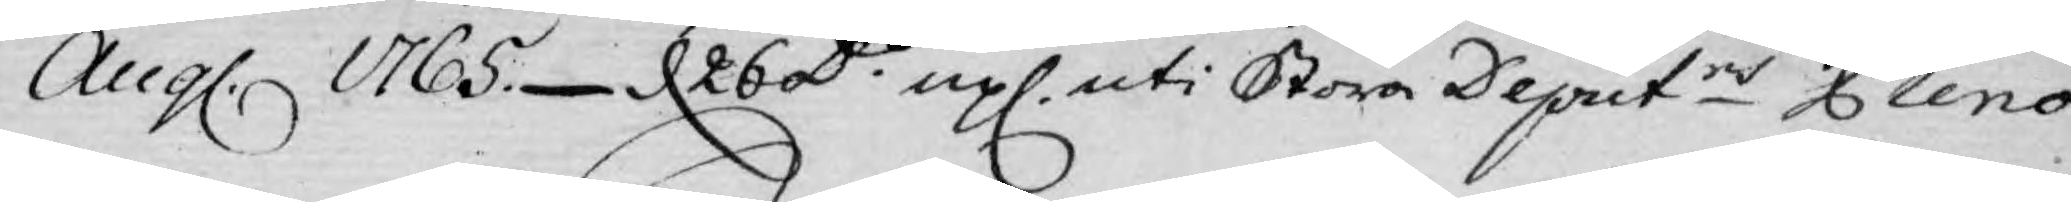Aug. 1765. d 26 Do upl. uti Stora Deputns Pleno.
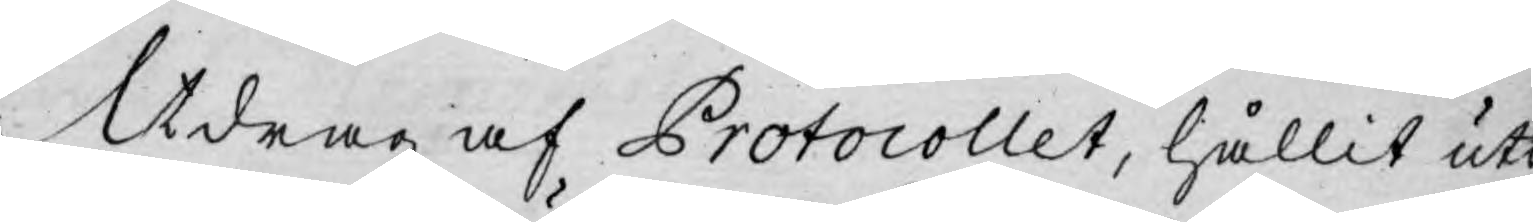Utdrag af Protocollet, hållit uti
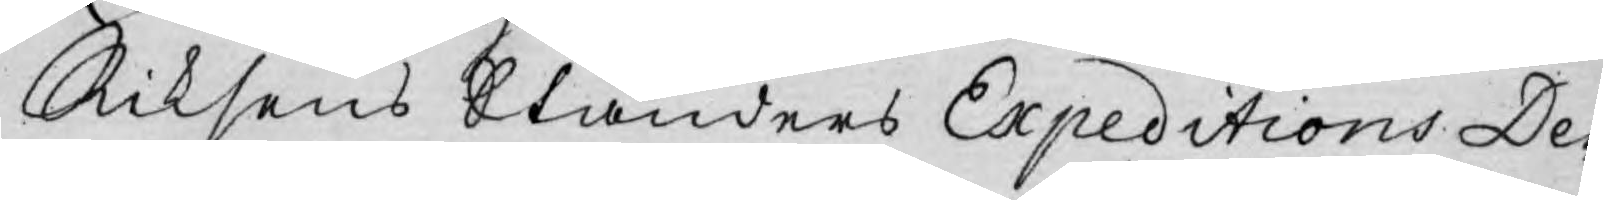Riksens Ständers Expeditions De¬
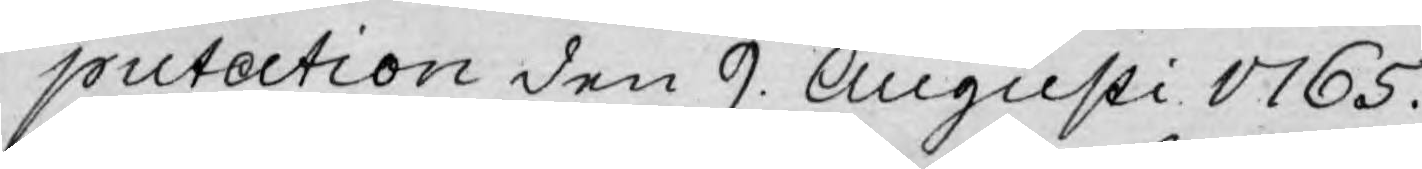putation den 9. Augusti 1765.
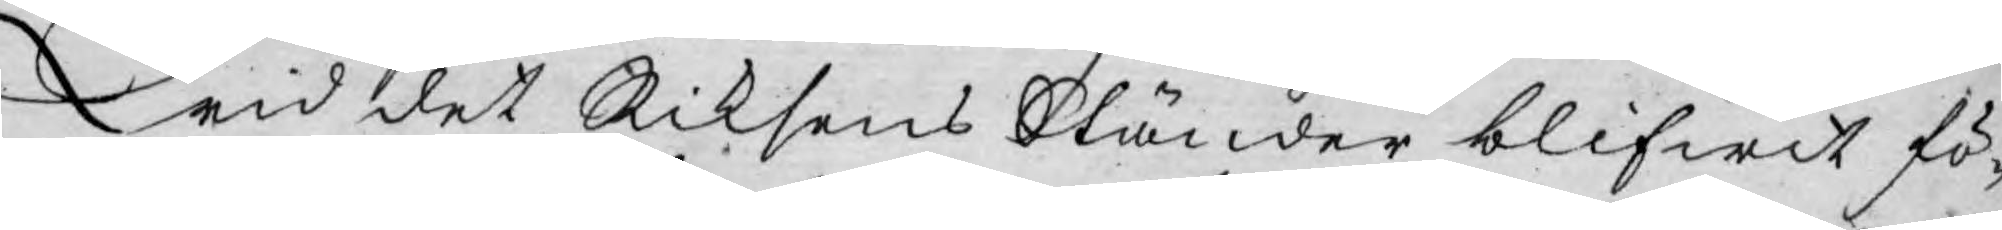Wid det Riksens Ständer blifwit fö¬
